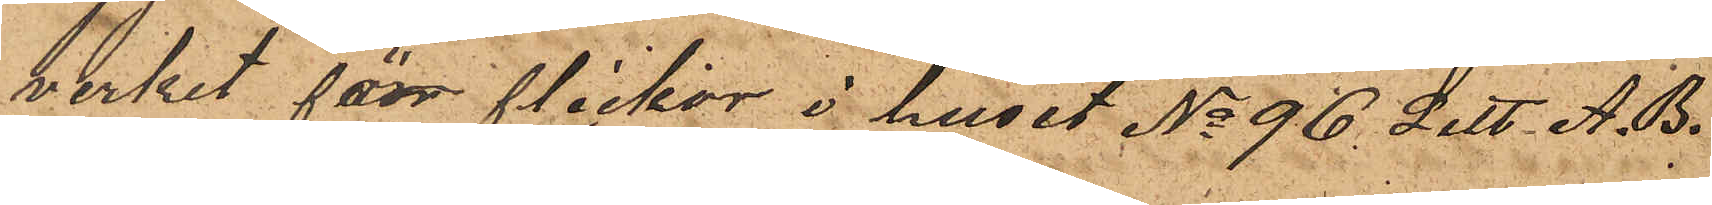verket för flickor i huset No 96 Litt A. B.
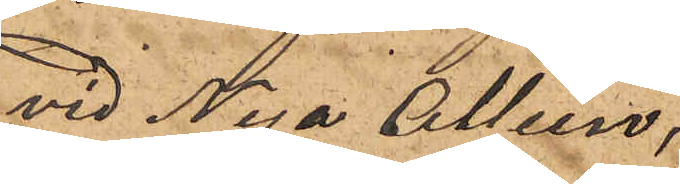vid Nya Alléen.
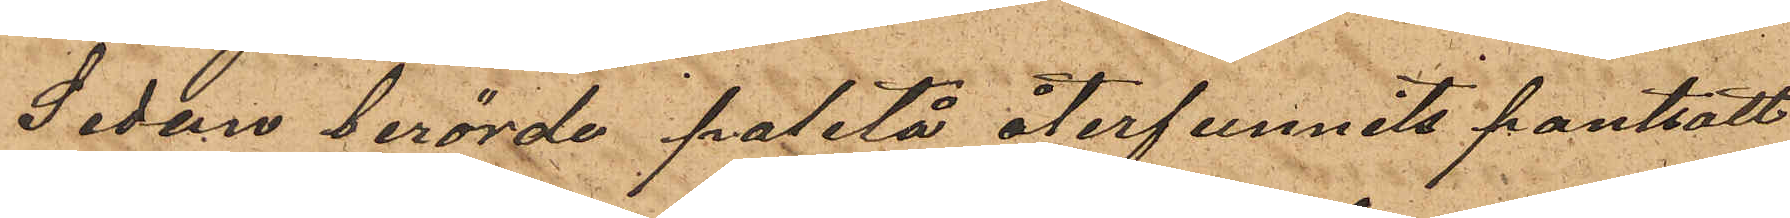Sedan berörde paletå återfunnits pantsatt
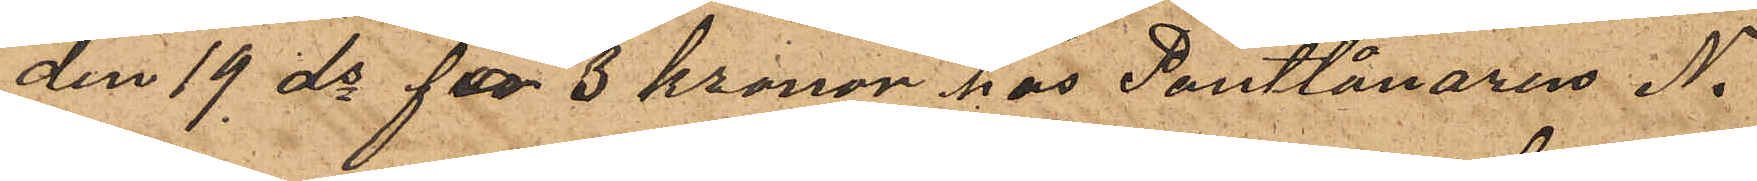den 19 ds för 3 kronor hos Pantlånaren N.
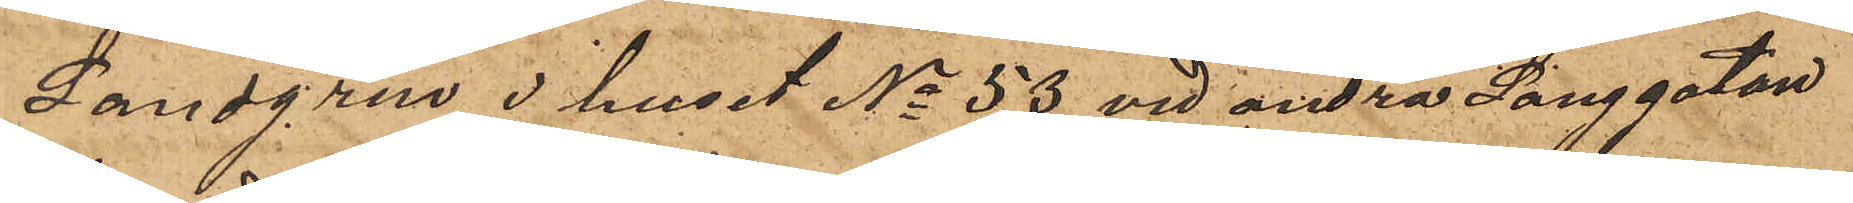Landgren i huset No 53 vid andra Langgatan
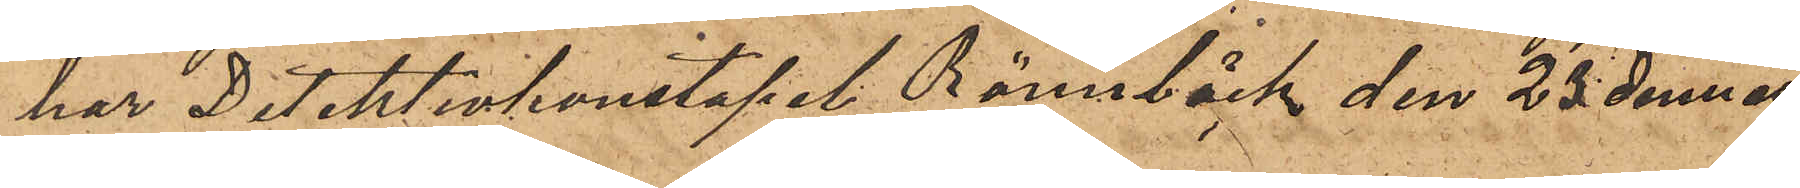har Detektivkonstapel Rönnbäck den 23 dennes
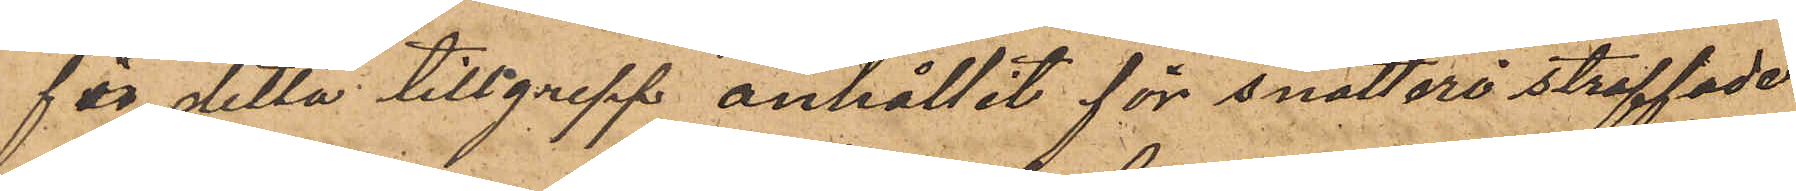för detta tillgrepp anhållit för snatteri straffade
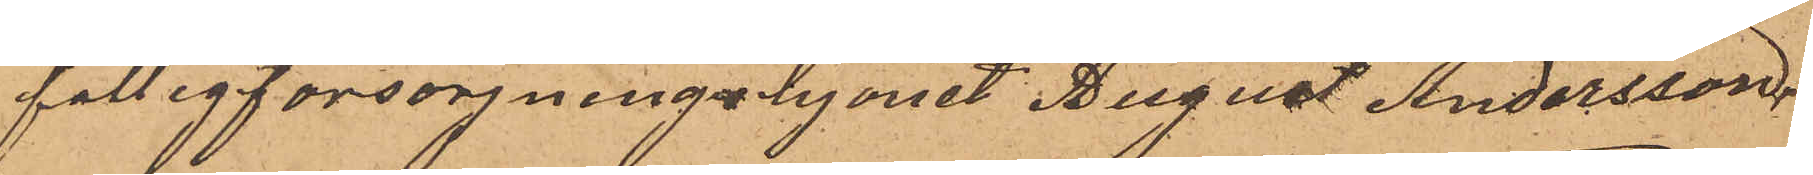fattigforsorjningshjonet August Andersson,
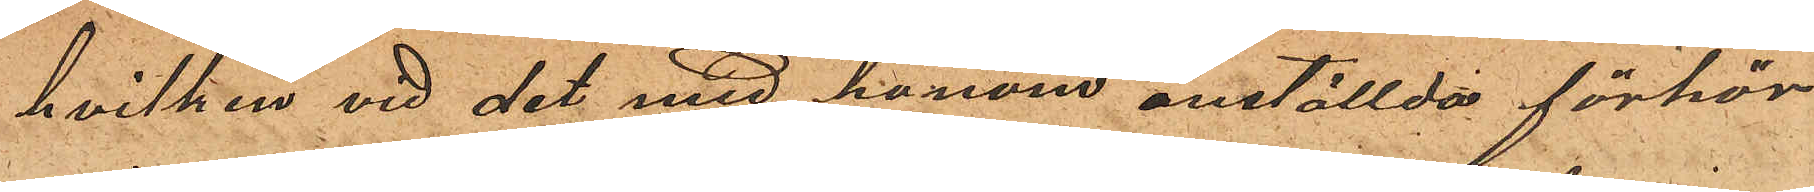hvilken vid det med honom anställda förhör
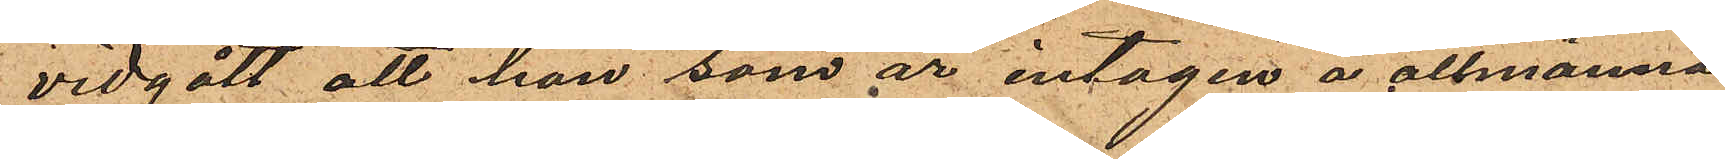vidgått att han som är intagen å allmänna
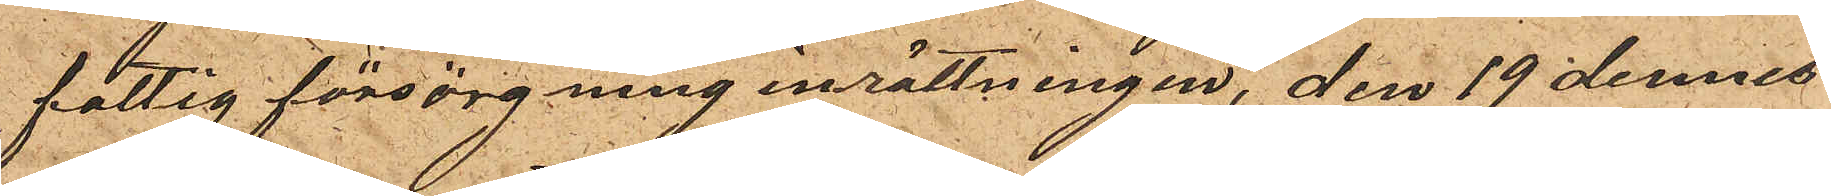fattig försörgninginrättningen, den 19 dennes
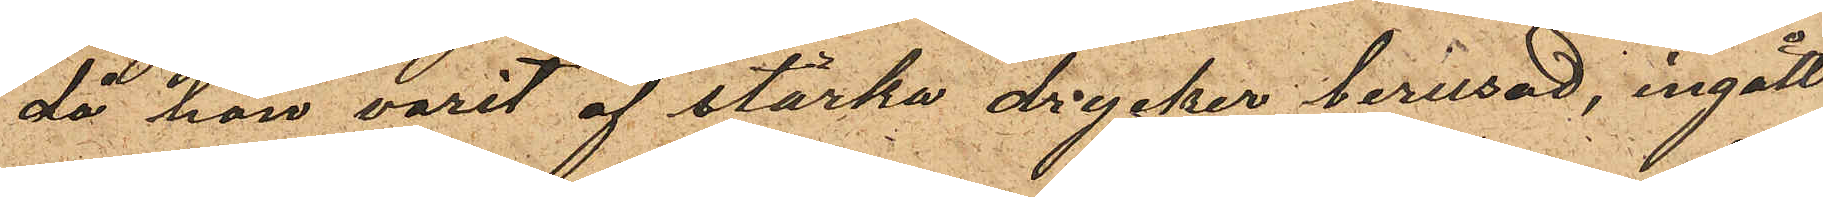då han varit af starka drycker berusad, ingått
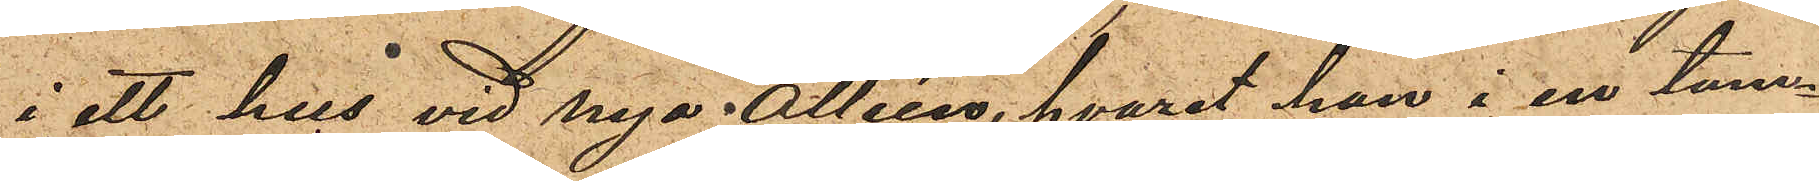i ett hus vid nya Alléen, hvaret han i en tam¬
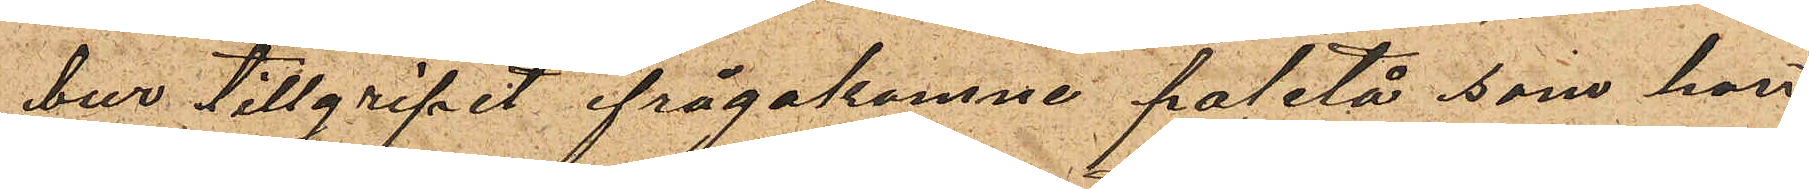bur tillgripit ifrågakomne paletå som han
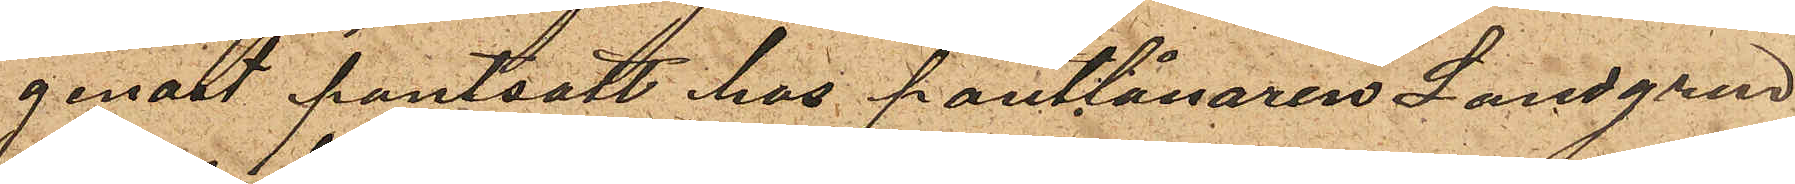genast pantsatt hos pantlånaren Landgren
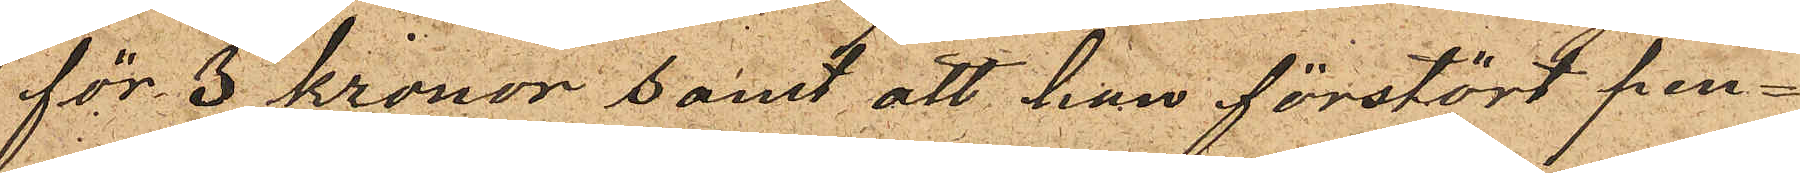för 3 kronor samt att han förstört pen¬
